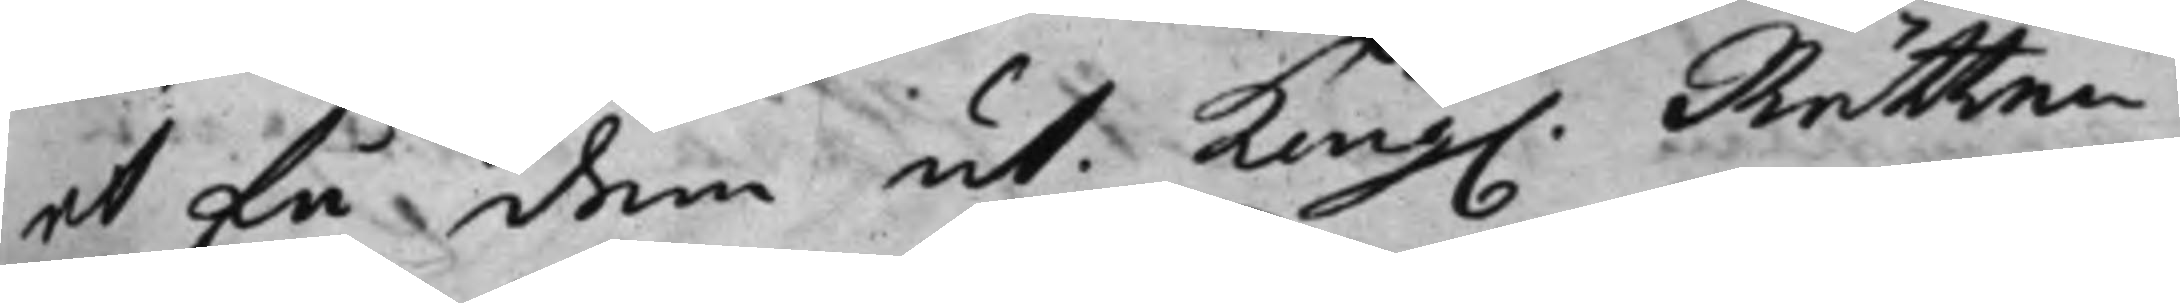få dom ut. Kong. Rätten
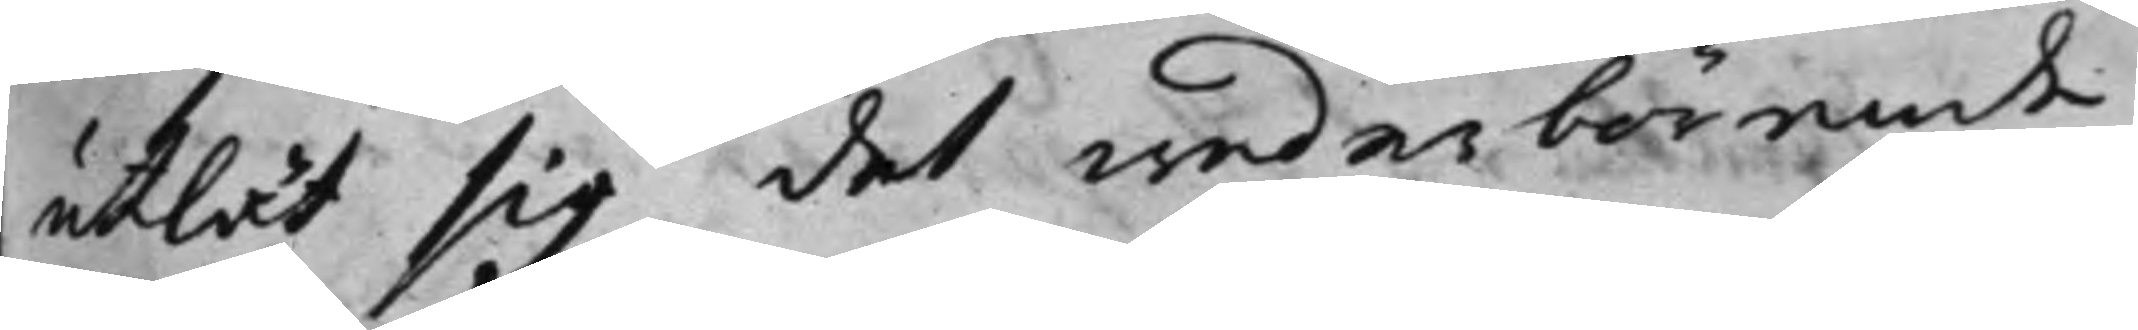utlät sig det wederbörende
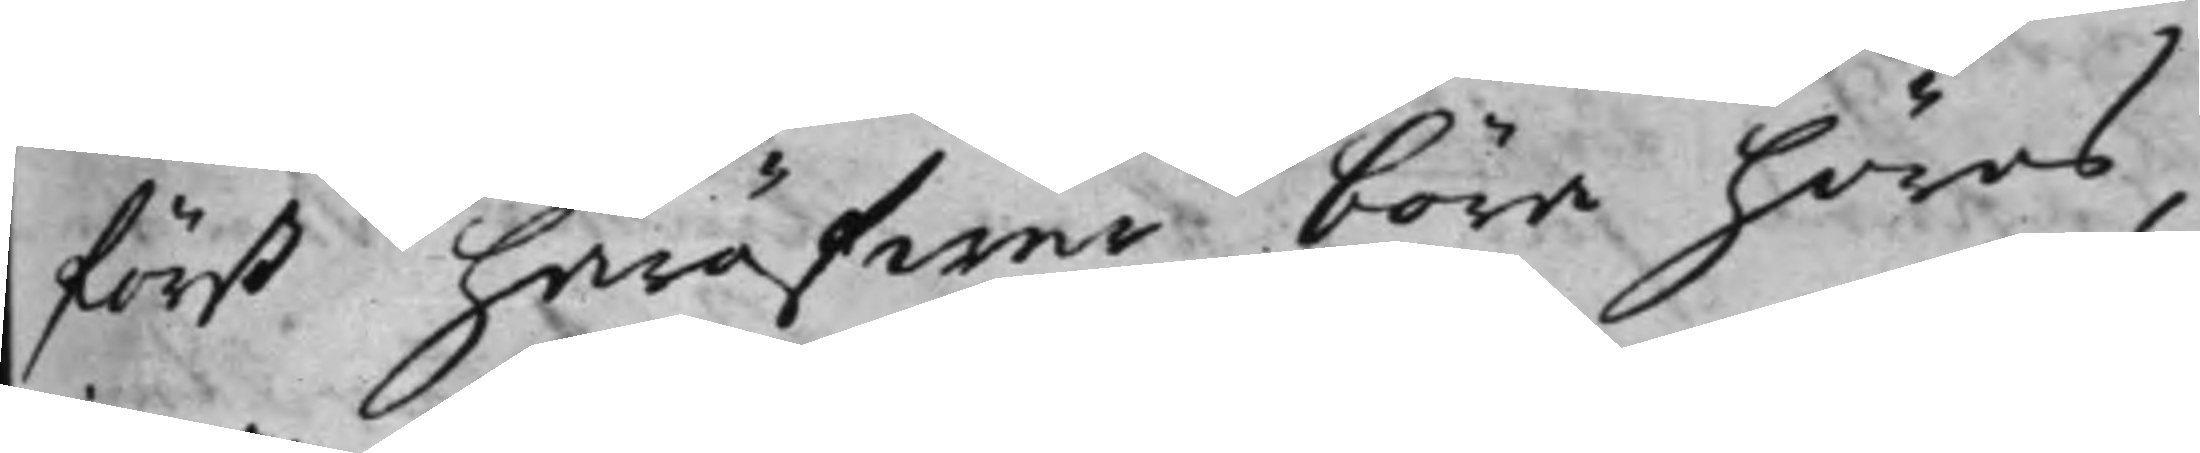först häröfwer böra höras,
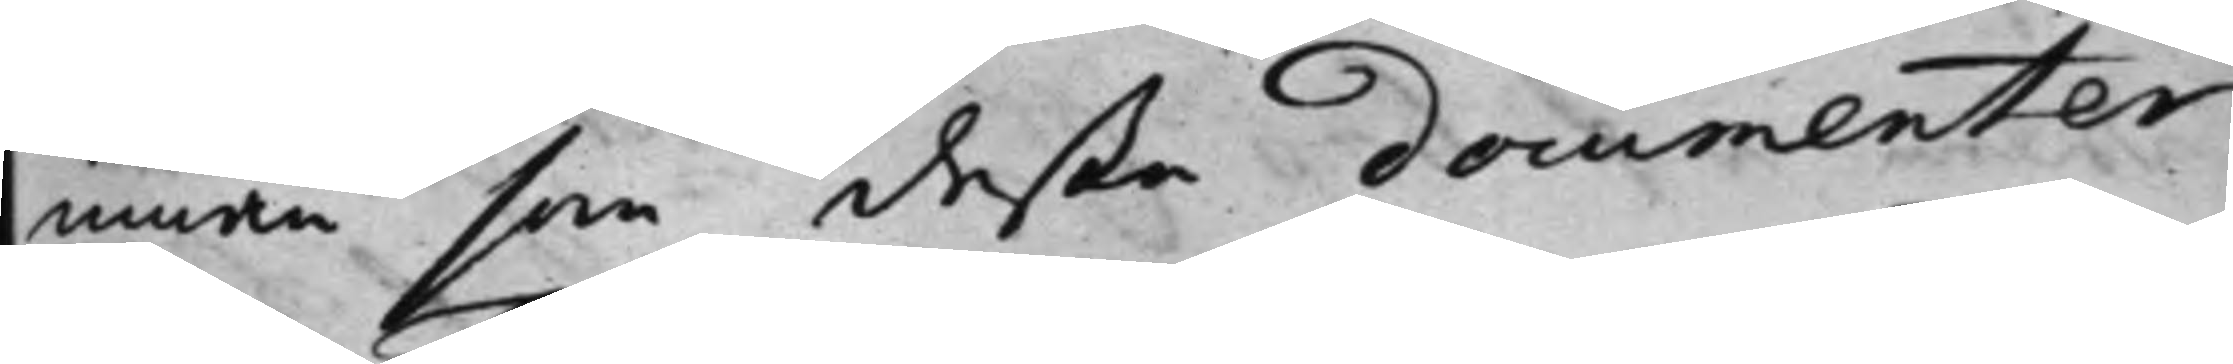innan som deße documenter
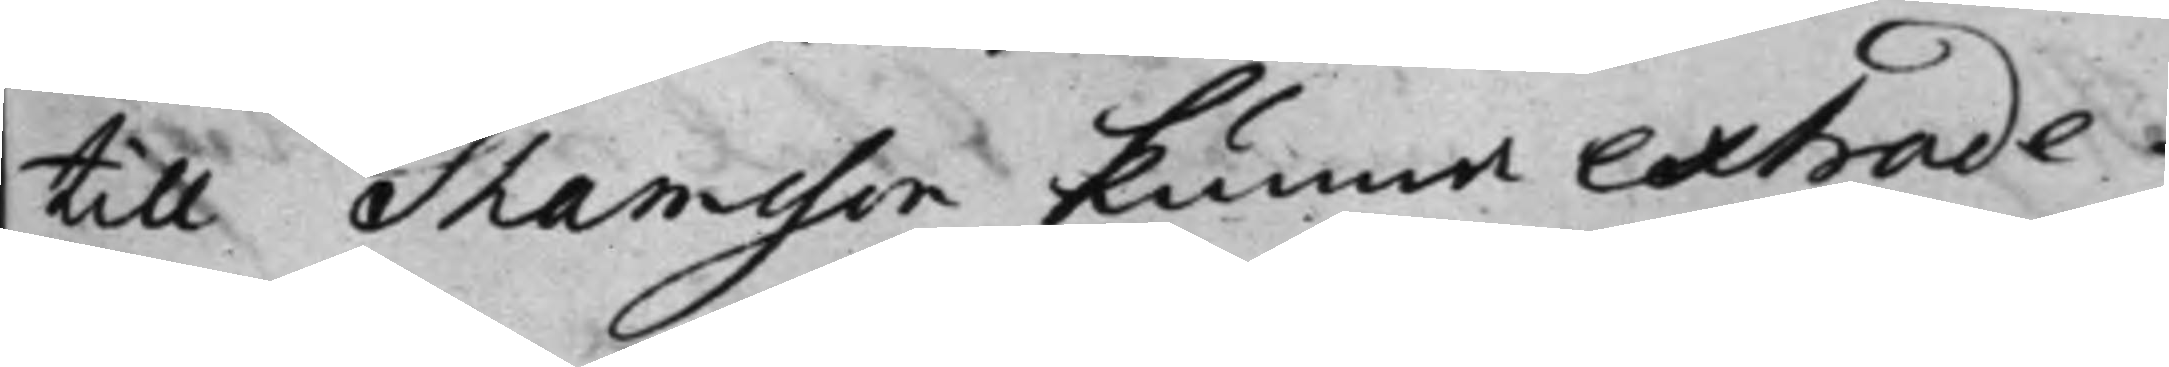till Thomsson kunna extrade¬
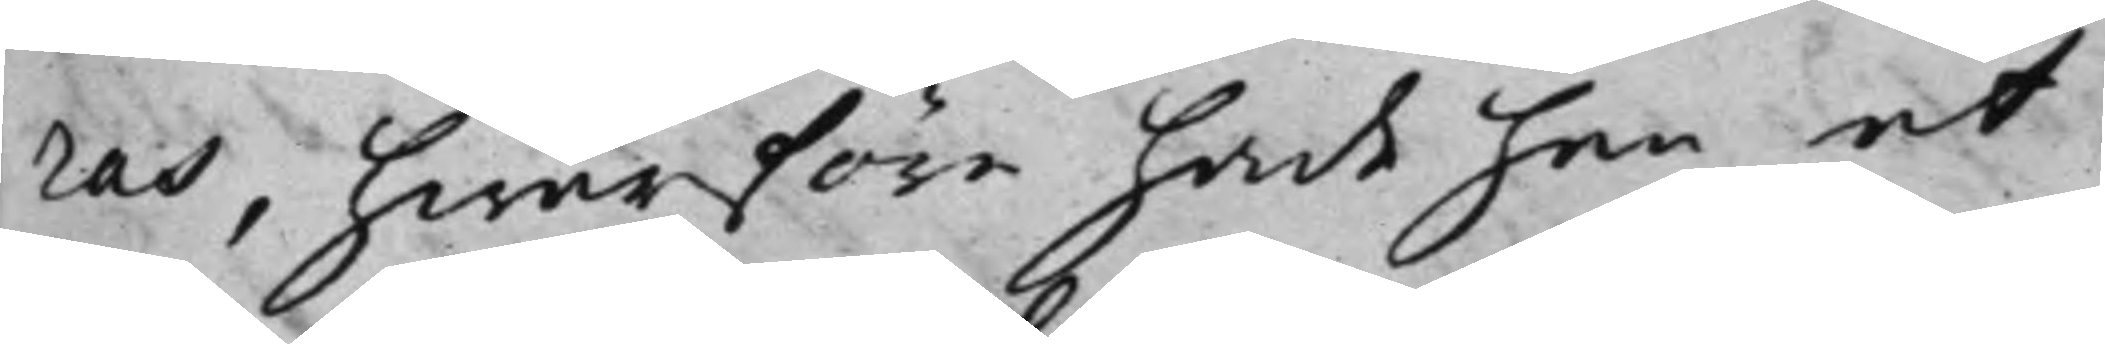ras, hwarföre hade han at
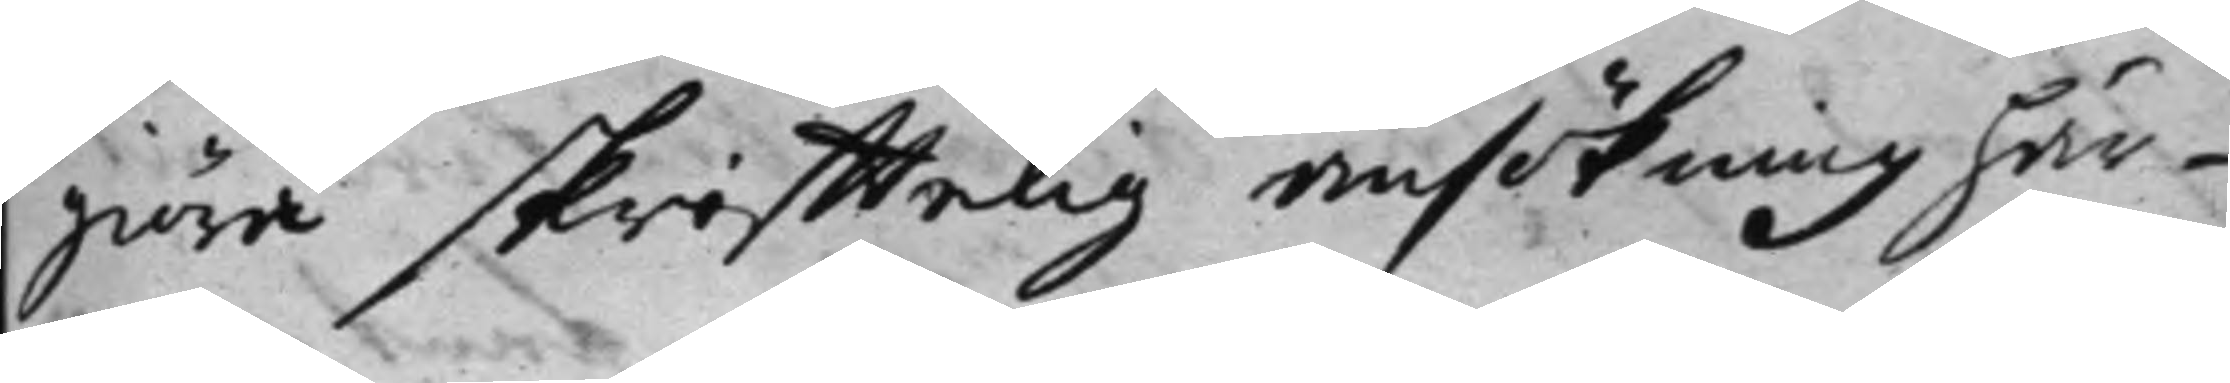göra skrifftelig ansökning här¬
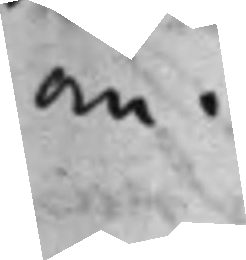om.
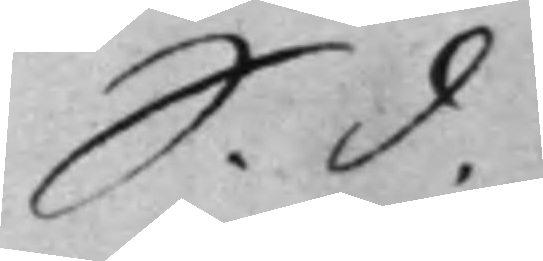S. d.
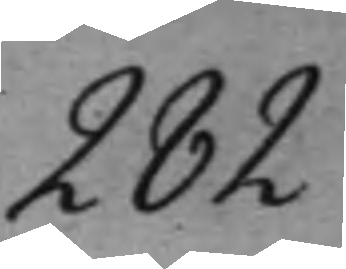282
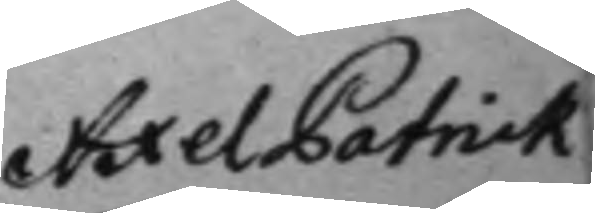Axel Patrick
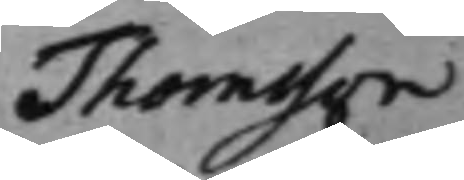Thomsson
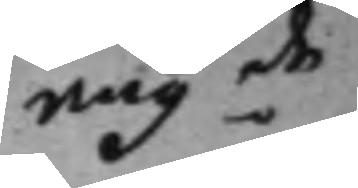angde
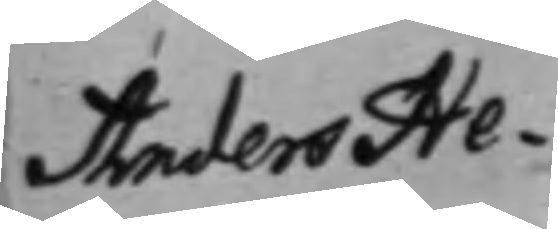Anders He¬
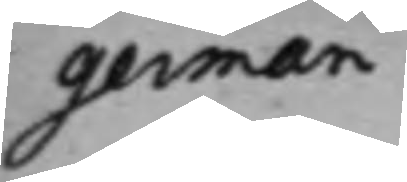german
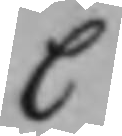C
